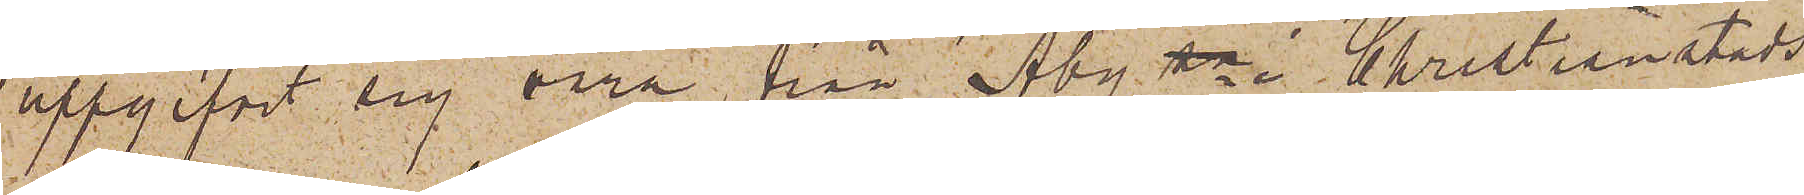uppgifvit sig vara från Åby sn i Christianstads
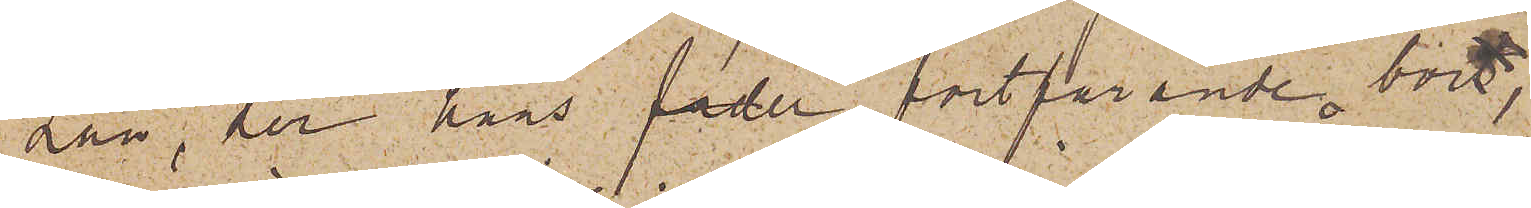Län, der hans fader fortfarande bort,
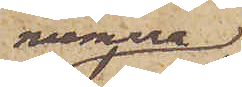numera
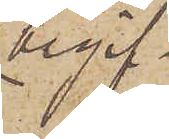begif¬
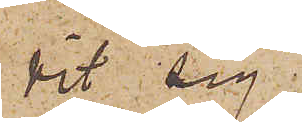vit sig
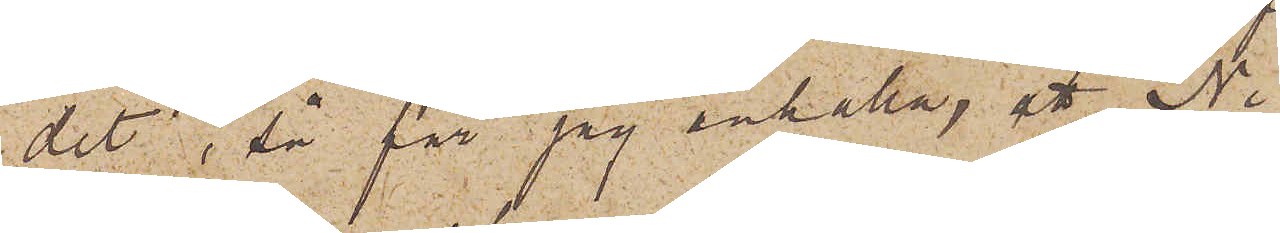dit; så får jag anhålla ett Ni
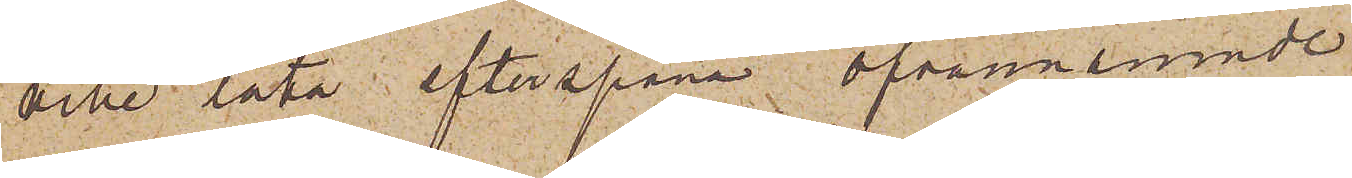ville låta efterspana ofvannämnde
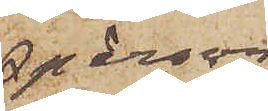person
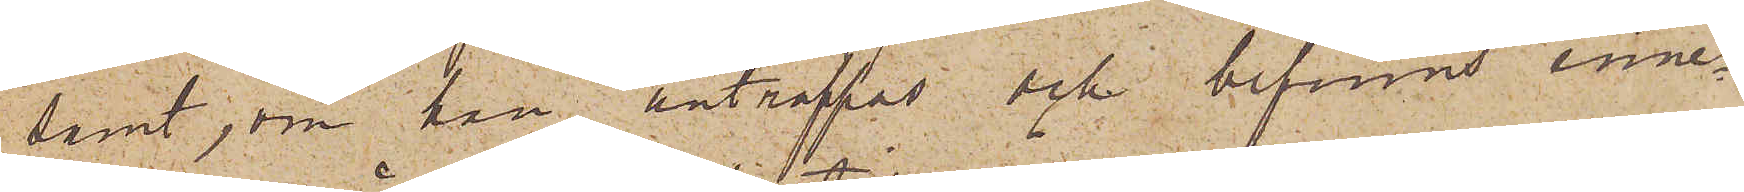samt, om han anträffas och befinns inne¬
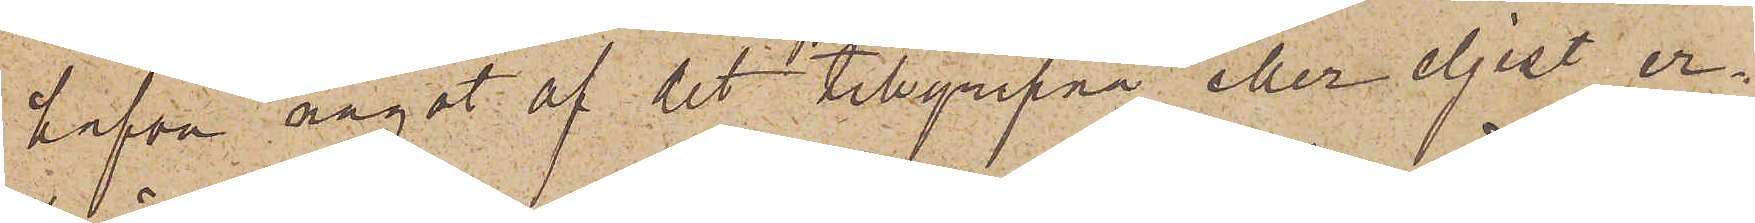hafva något af det tillgripna eller eljest er¬
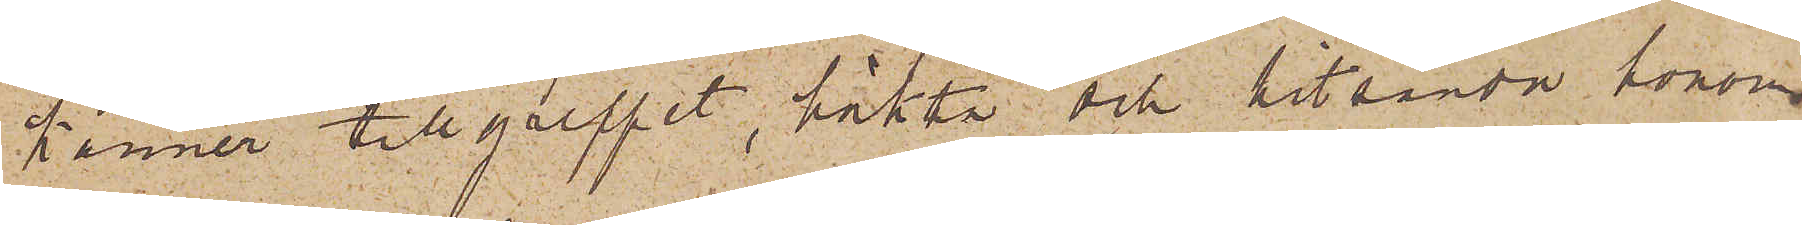känner tillgreppet, häkta och hitsända honom.
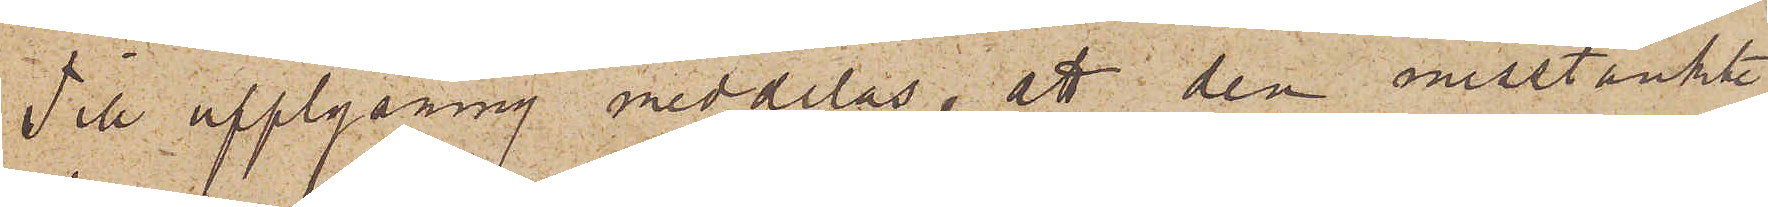Till upplysning meddelas, att den misstänkte
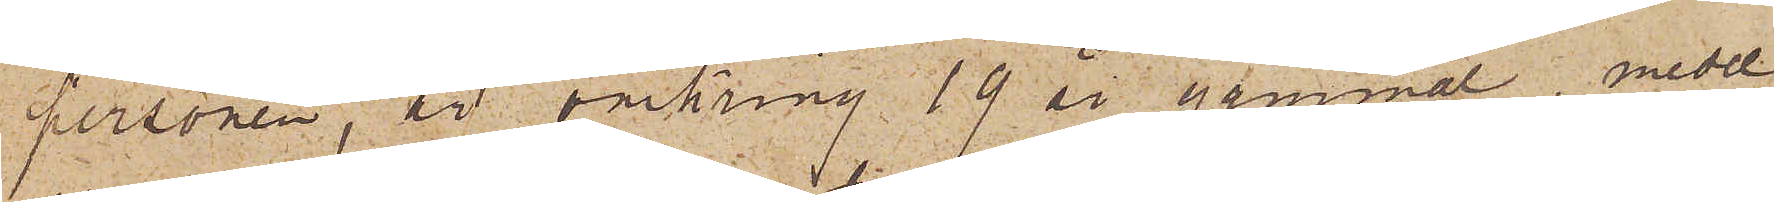personen, är omkring 19 år gammal, medel¬
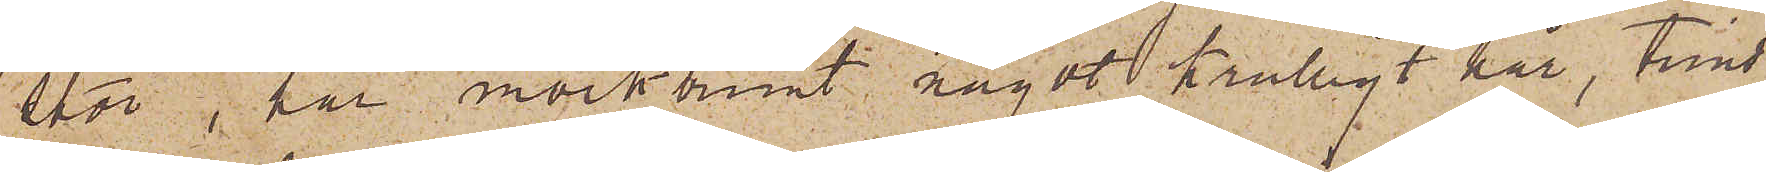stor, har mörkbrunt något krulligt hår, trind¬
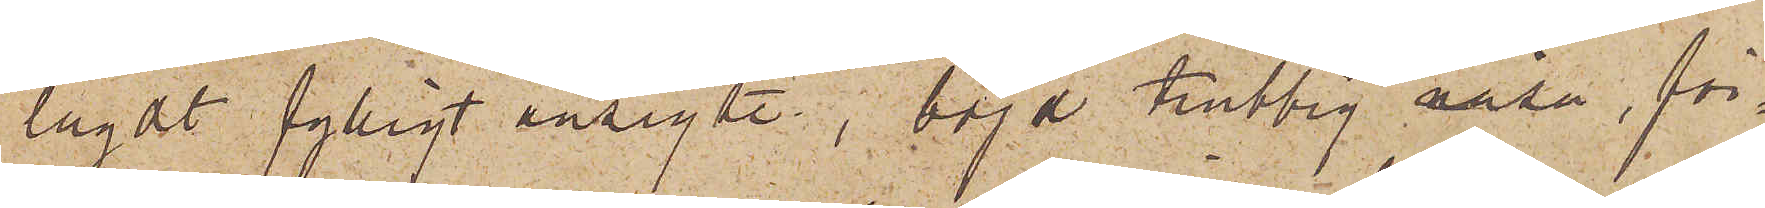lagdt fylligt ansigte, i böjd trubbig näsa, för¬
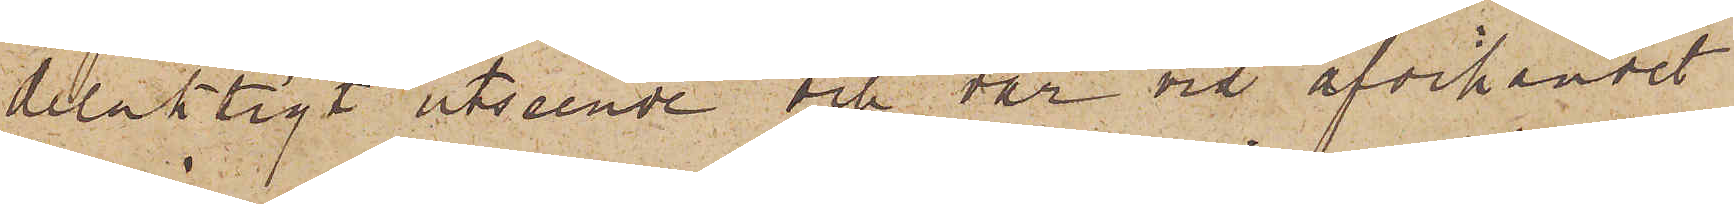delaktigt utseende och var vid afvikandet
